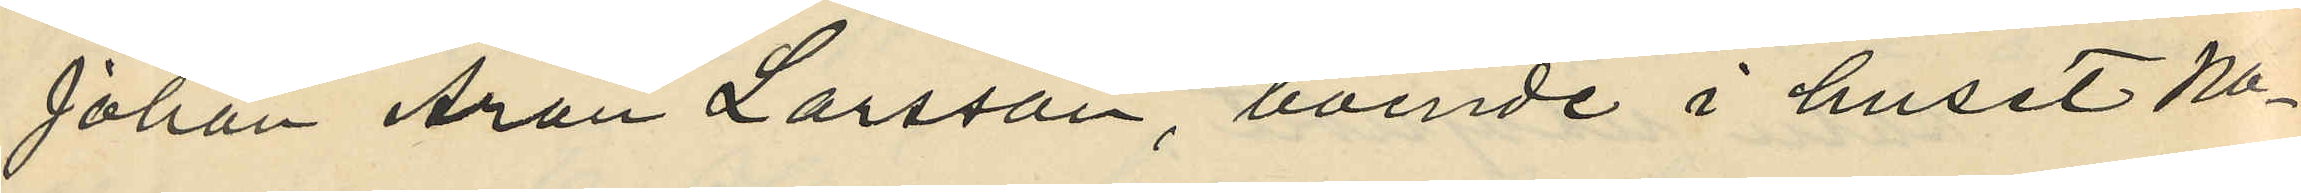Johan Aron Larsson, boende i huset No
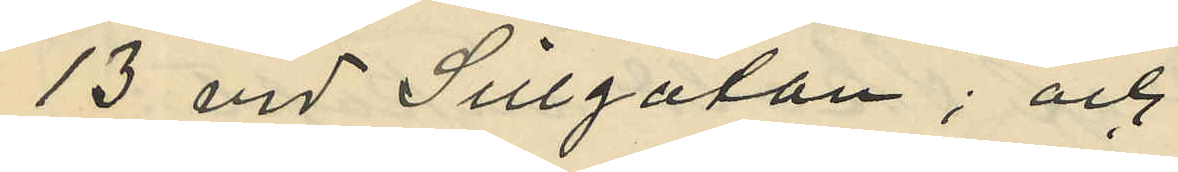13 vid Sillgatan; och
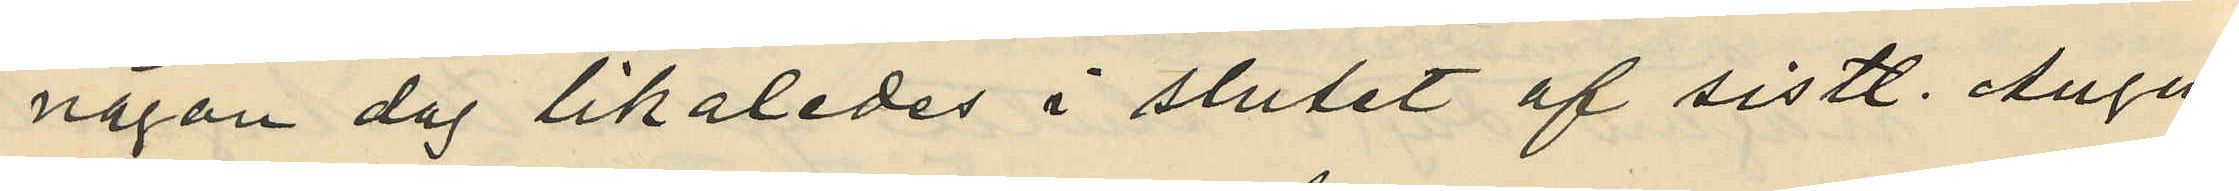någon dag likaledes i slutet af sistl. Augu¬
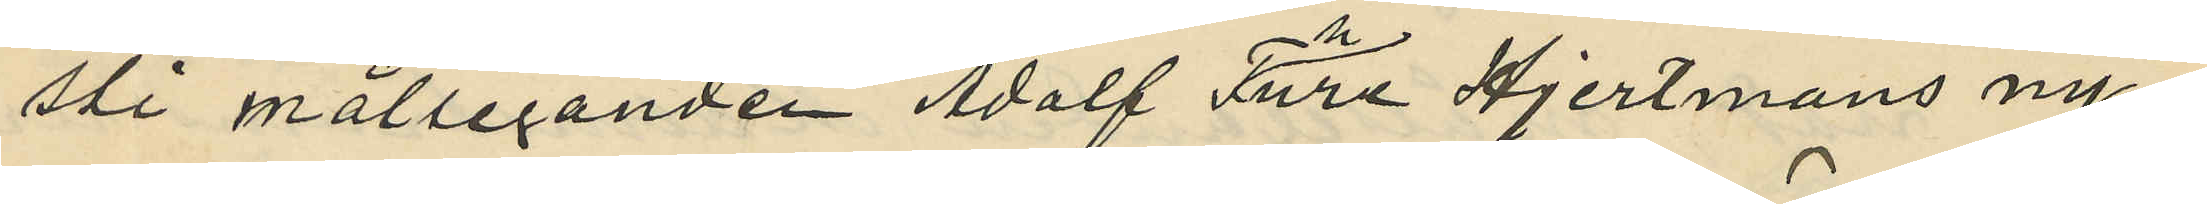sti målseganden Adolf Thure Hjertmans ny¬
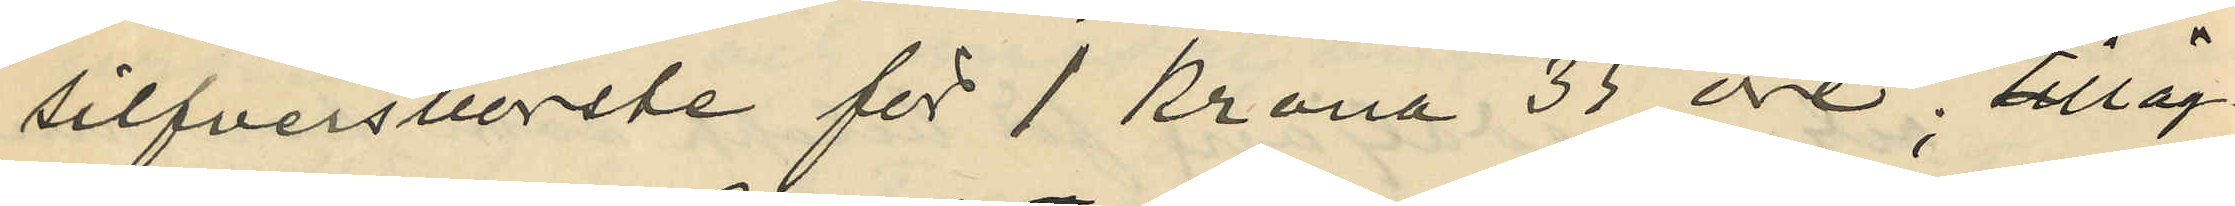silfversborste för 1 krona 35 öre, tilläg¬
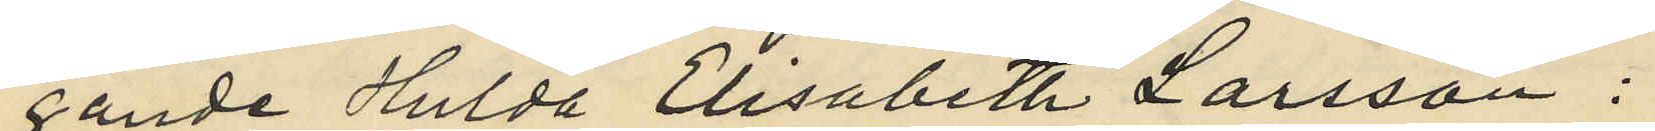gande Hulda Elisabeth Larsson 
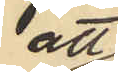att
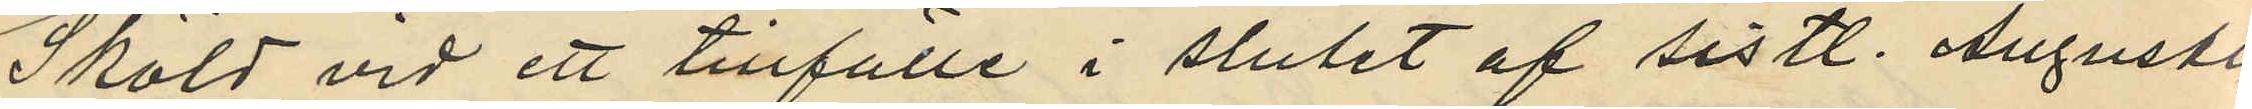Sköld vid ett tillfälle i slutet af sistl. Augusti
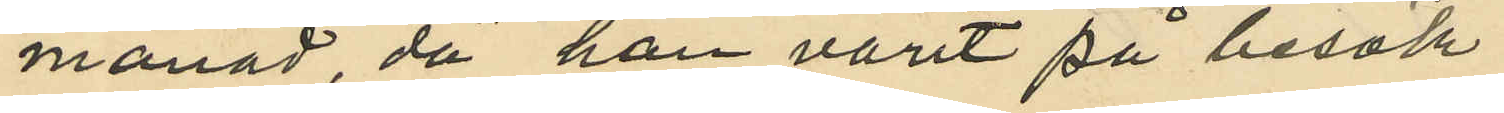månad då han varit på besök
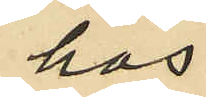hos
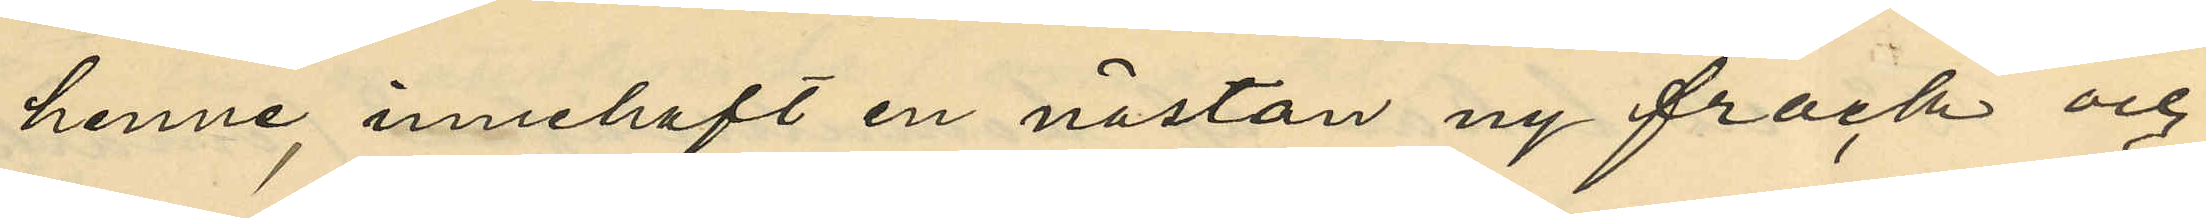henne, innehaft en nästan ny frack och
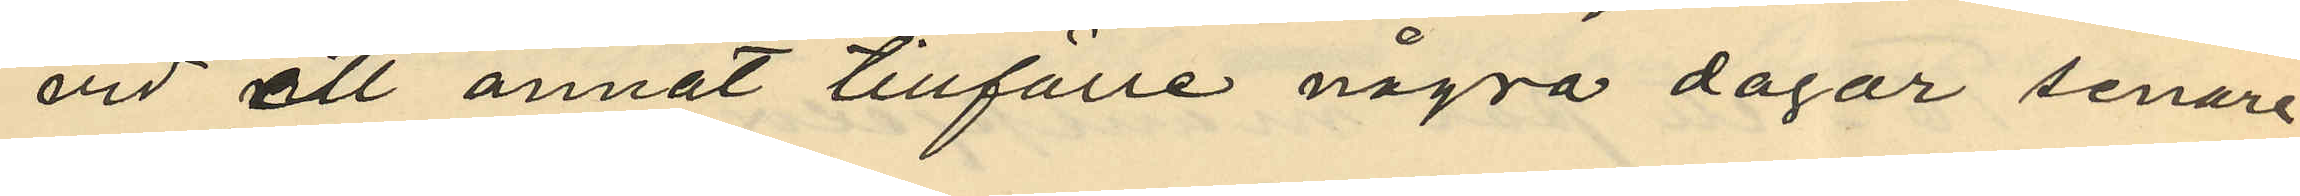vid ett annat tillfälle några dagar senare
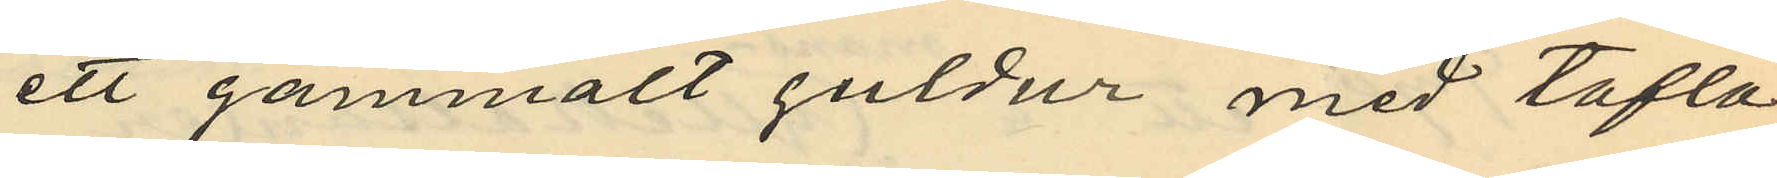ett gammalt guldur med tafla
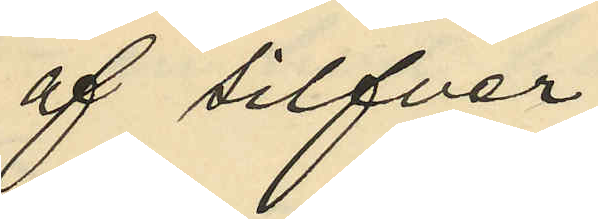af silfver.
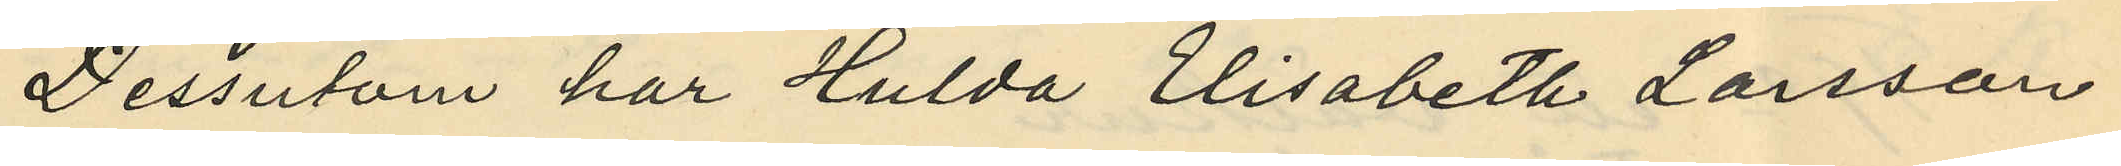Dessutom har Hulda Elisabeth Larsson
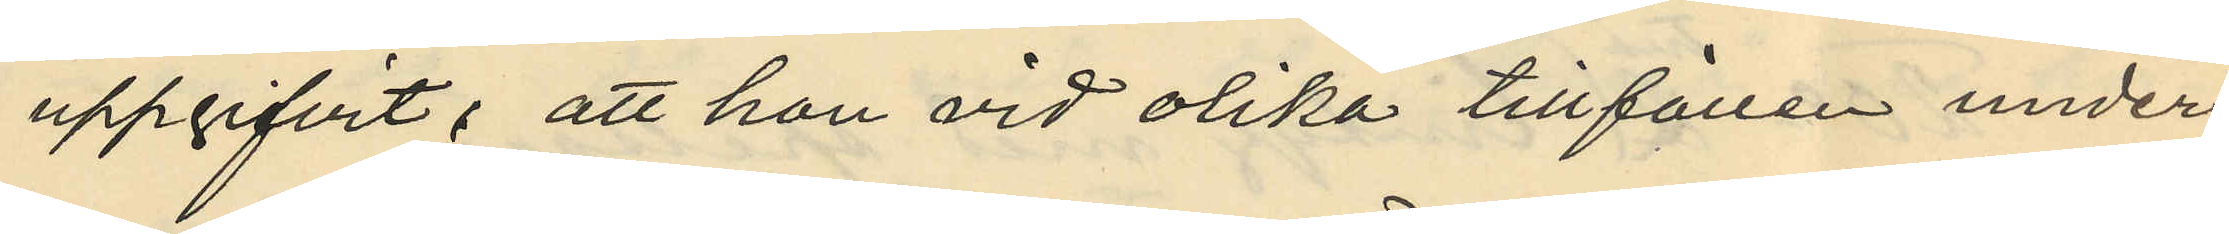uppgifvit: att hon vid olika tillfällen under
